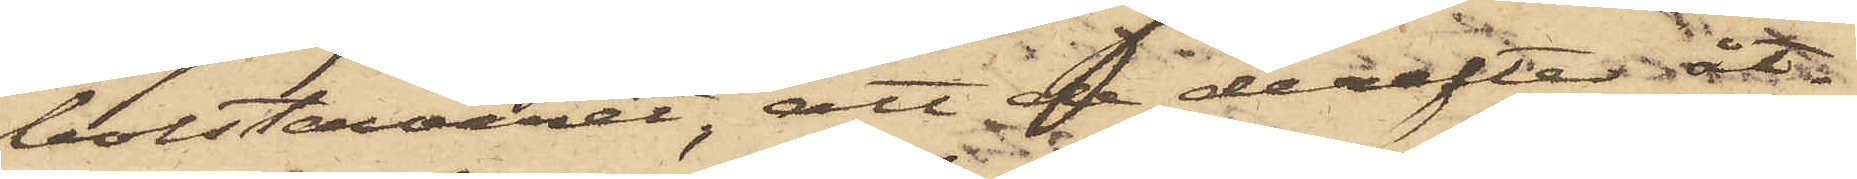bolstervaret, att  derefter åt¬
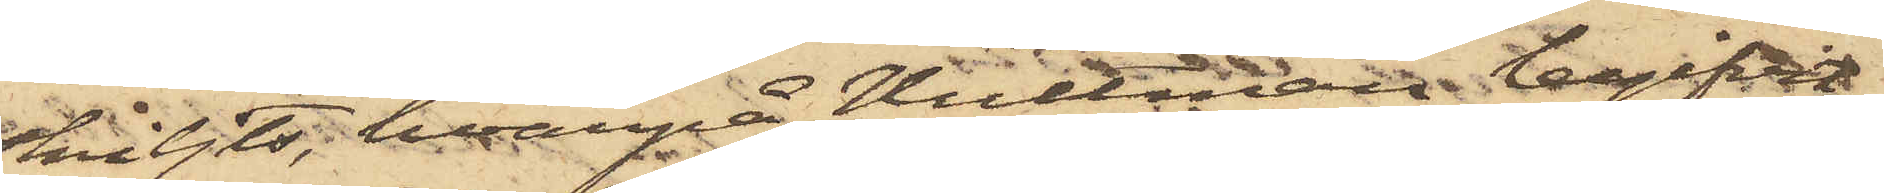skiljts, hvarpå Hultman begifvit
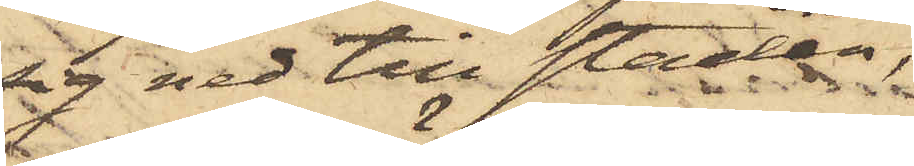sig ned till staden,
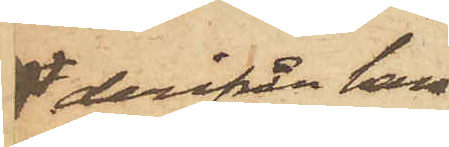 derifrån han
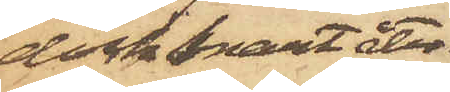dock snart åter¬
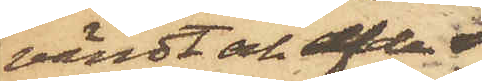vändt och af de
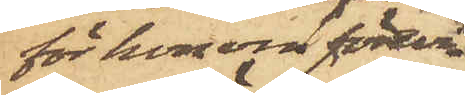för honom förevi¬
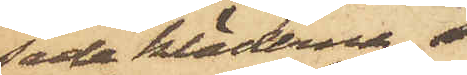sade kläderna,
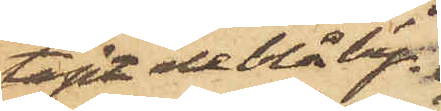tagit de blå by¬
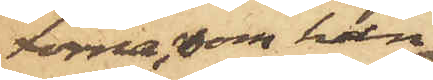xorna, som han
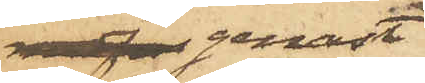 genast
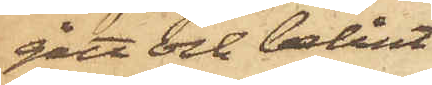gått och belånt
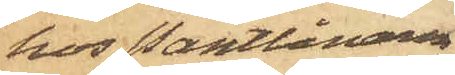hos Pantlånaren
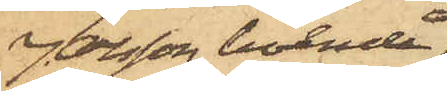J. Olsson, boende
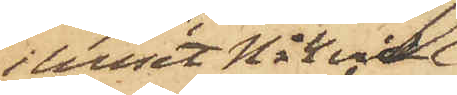i huset No 4 vid
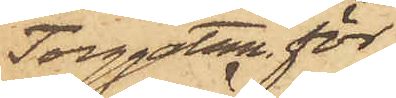Torggatan, för
